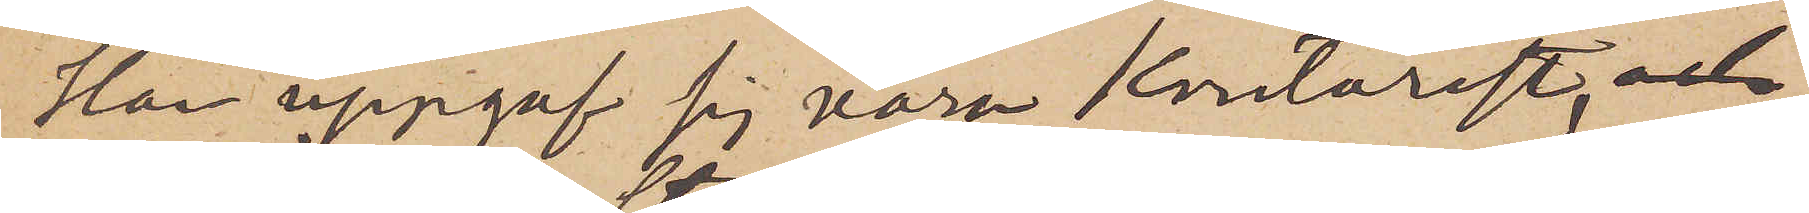Han uppgaf sig vara kontorist och
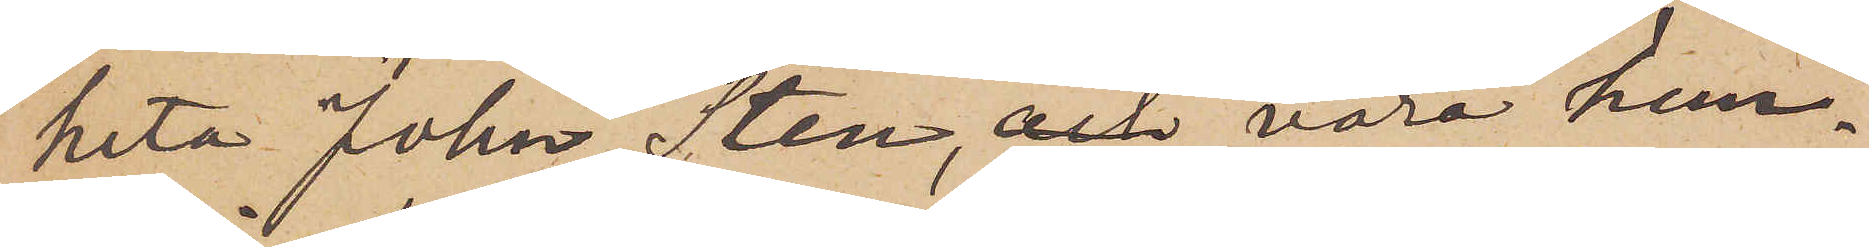heta John Sten, och vara hem¬
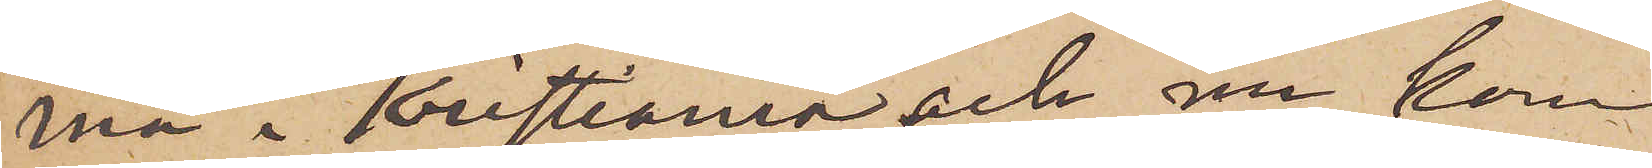ma i Kristiania och nu kommen
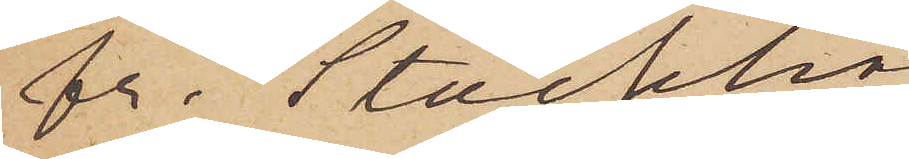fr. Stockholm.
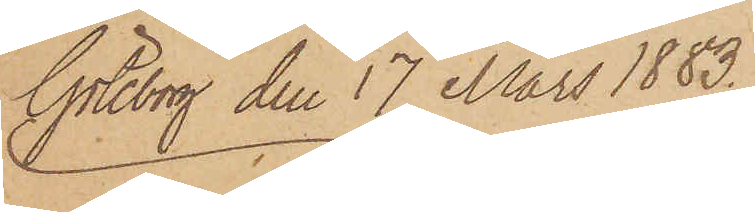Göteborg den 17 Mars 1883.
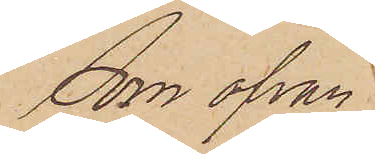Som ofvan
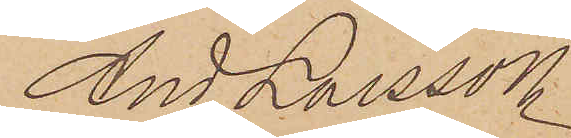And Larsson
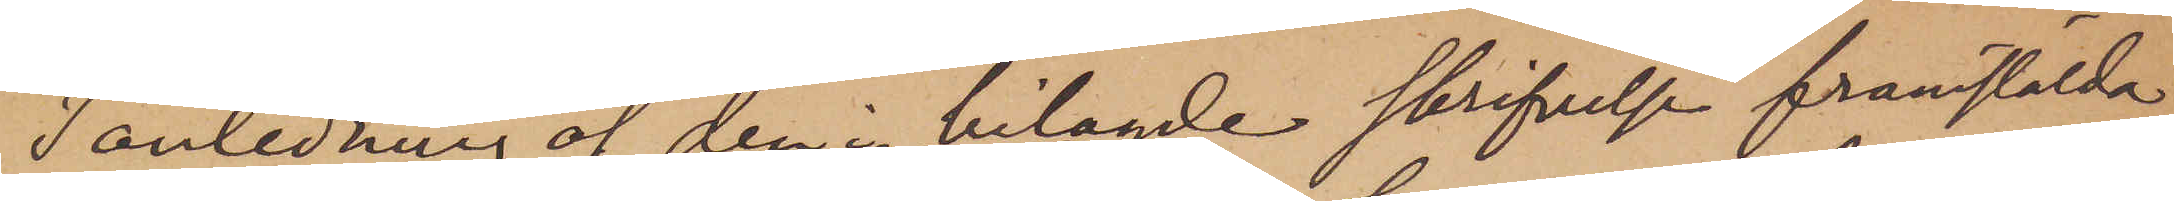I anledning af den i bilagde skrifvelse framstälda
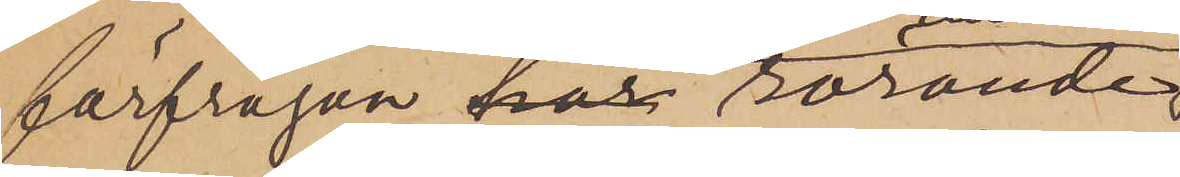förfrågan har rörande
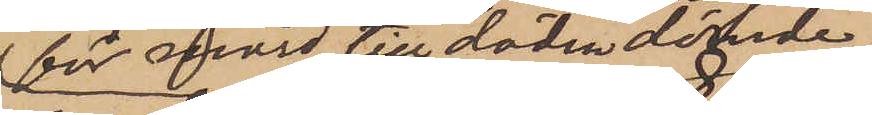för mord till döden dömde
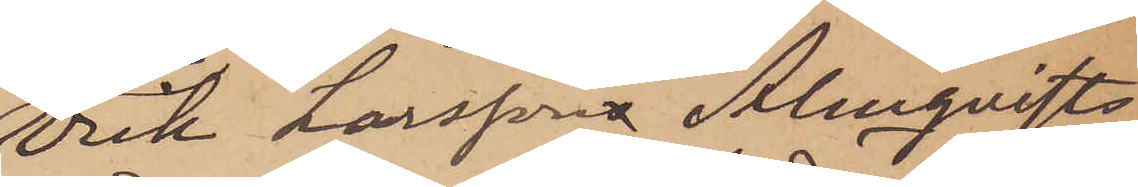Erik Larssons Almqvists
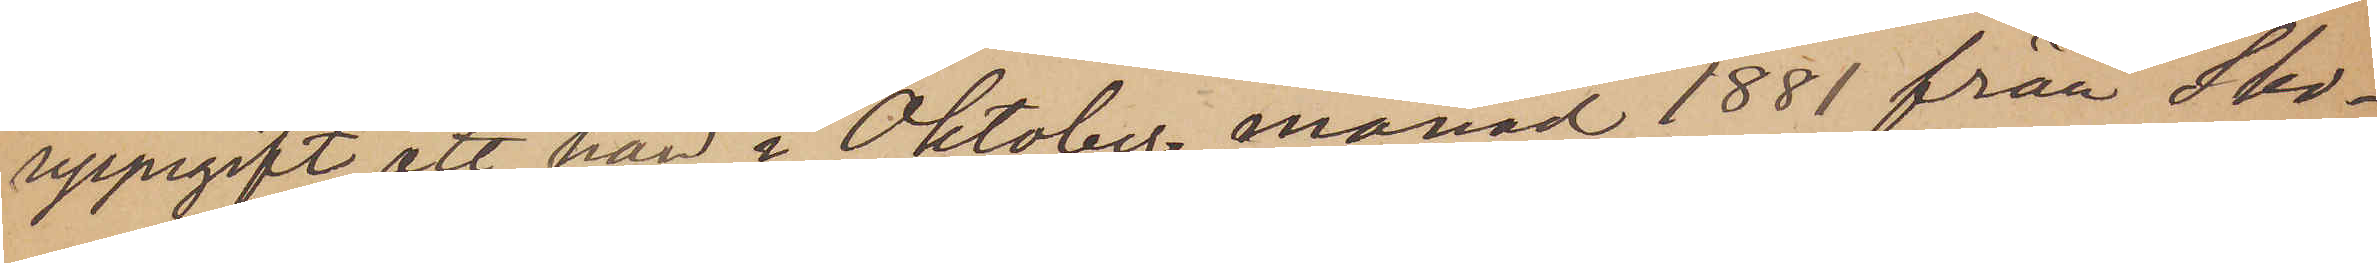uppgift, att han i Oktober månad 1881 från Sko¬
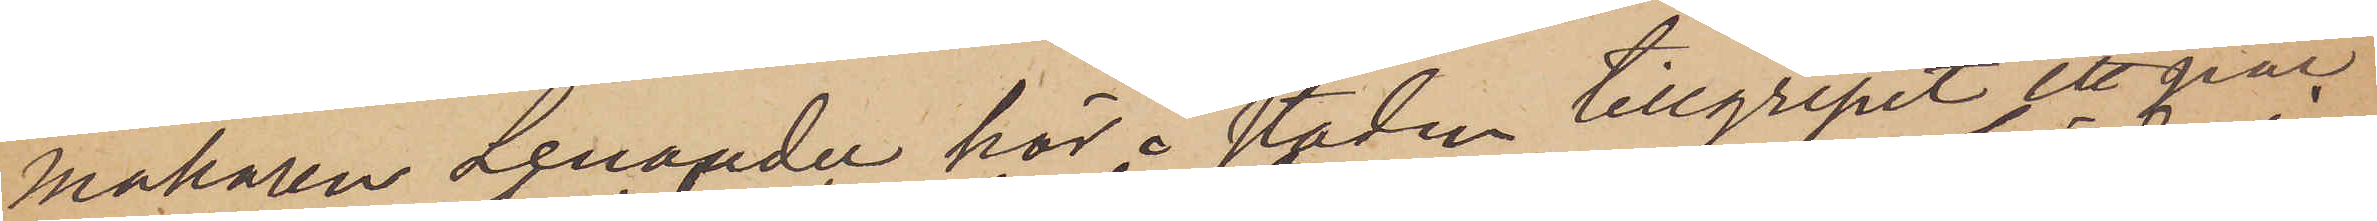makaren Lenander här i staden tillgripit ett par
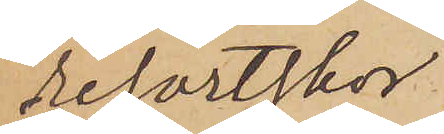resortskor
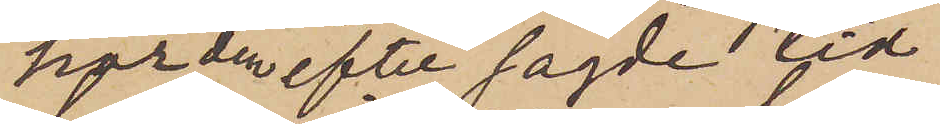har den efter sagde tid
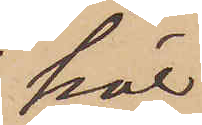här
